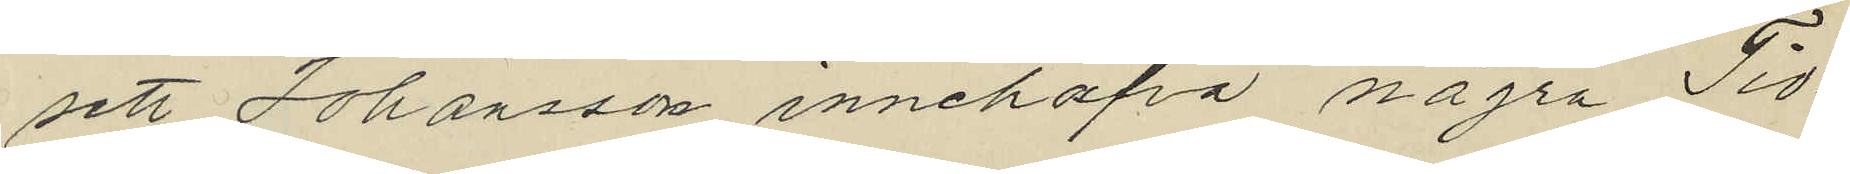sett Johansson innehafva några Tio¬
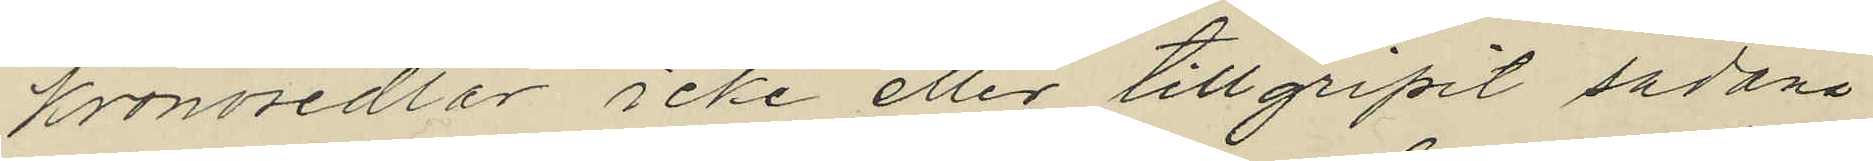kronosedlar icke eller tillgripit sådana
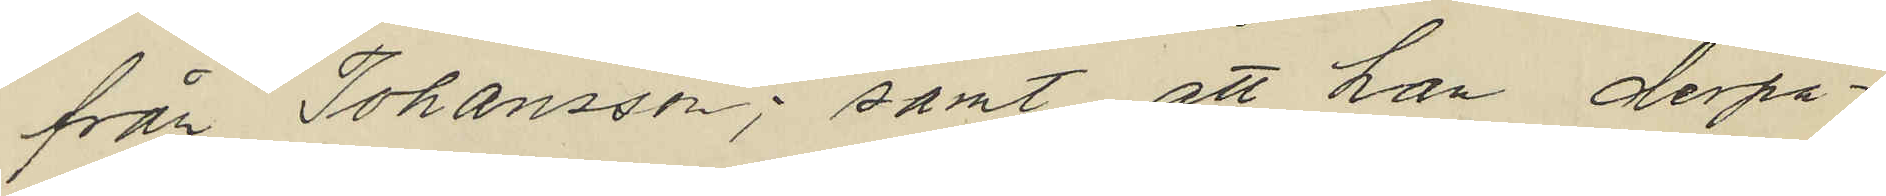från Johansson; samt att han derpå¬
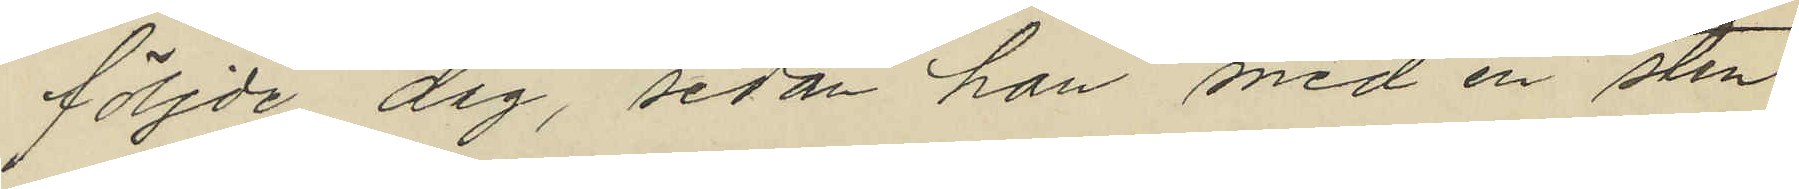följde dag, sedan han med en sten
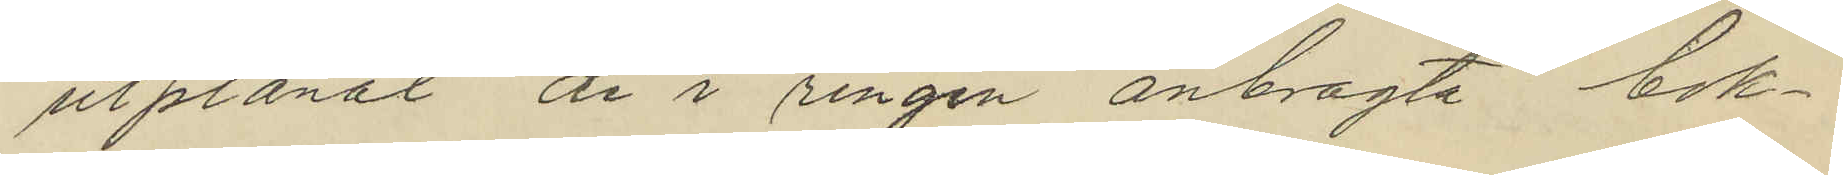utplånat de i ringen anbragta bok¬
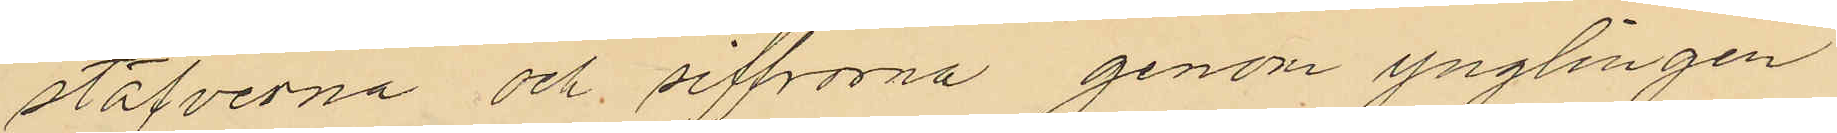stäfverna och siffrorna genom ynglingen
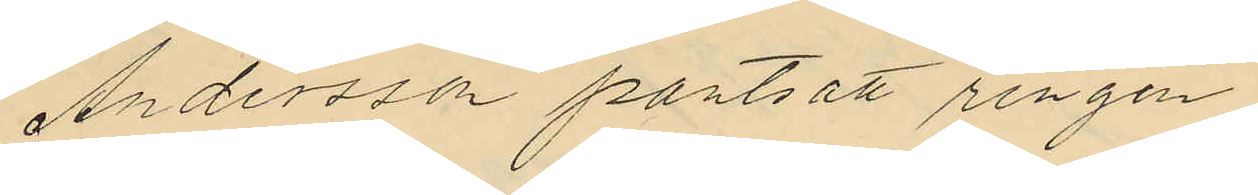Andersson pantsatt ringen
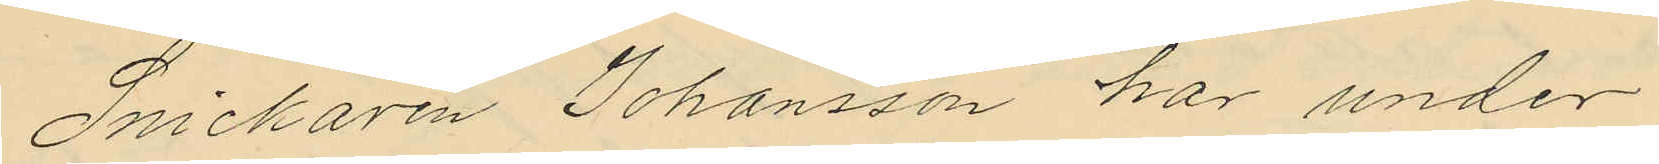Snickaren Johansson har under
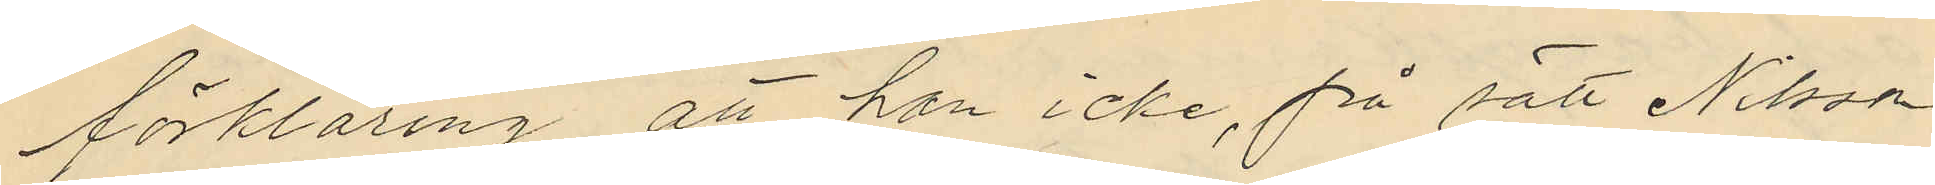förklaring att han icke, på sätt Nilsson
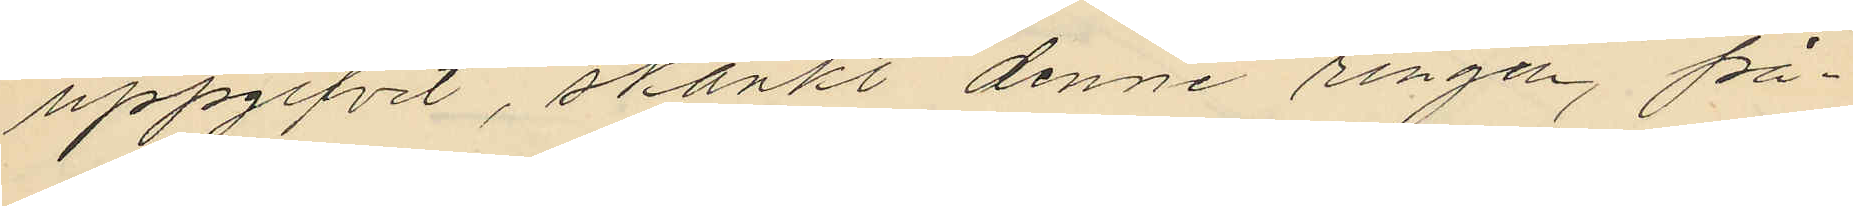uppgifvit, skänkt denne ringen, på¬
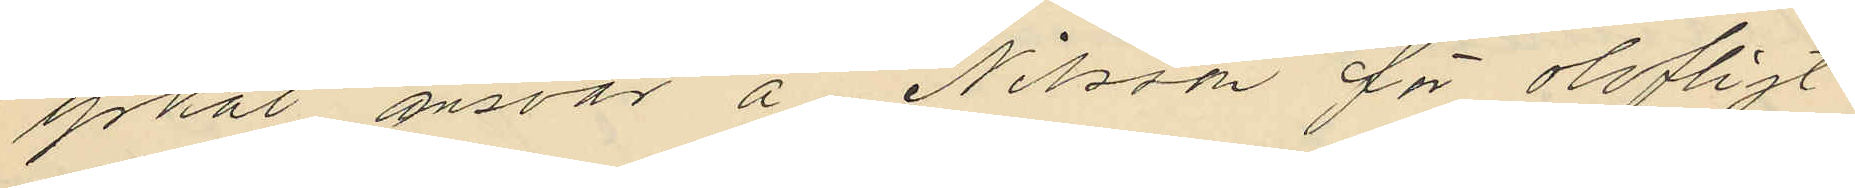yrkat ansvar å Nilsson för olofligt
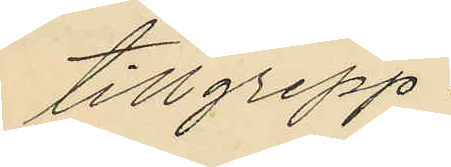tillgrepp.
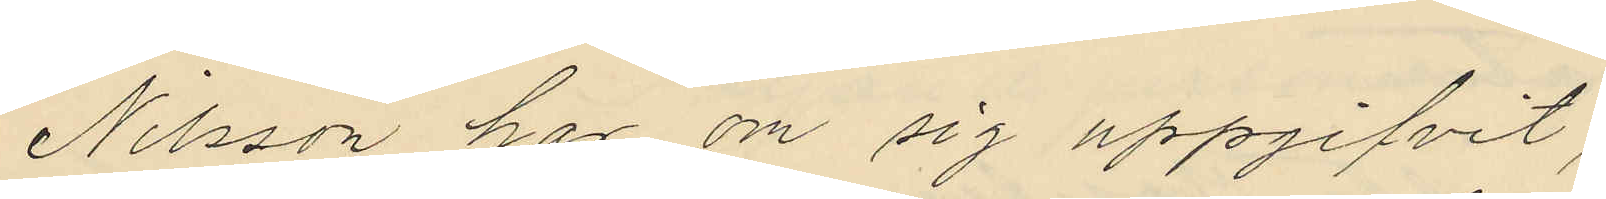Nilsson har om sig uppgifvit,
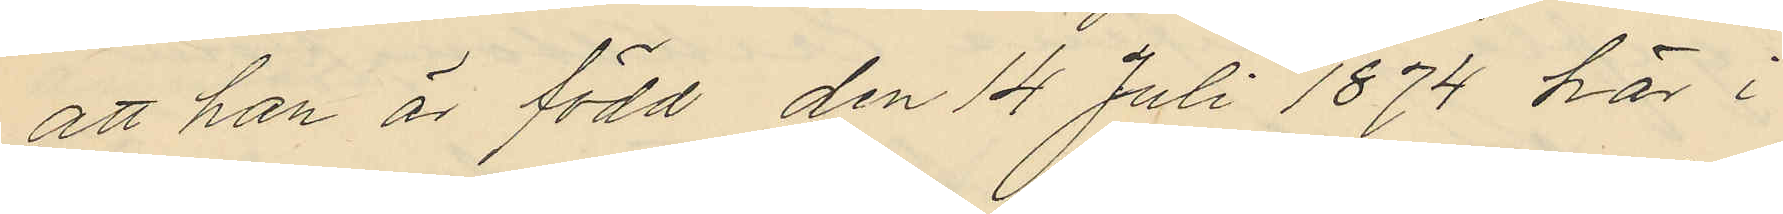att han är född den 14 Juli 1874 här i
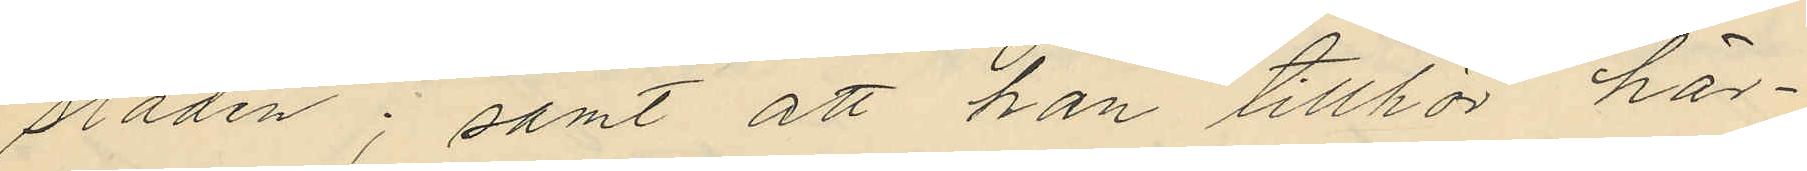staden; samt att han tillhör här¬
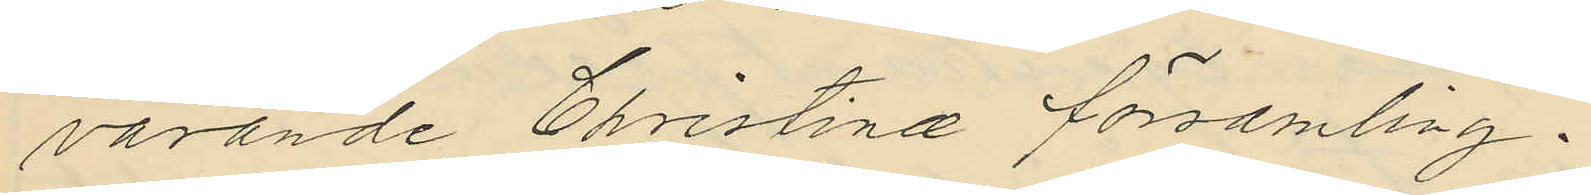varande Christinæ församling.
